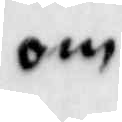om
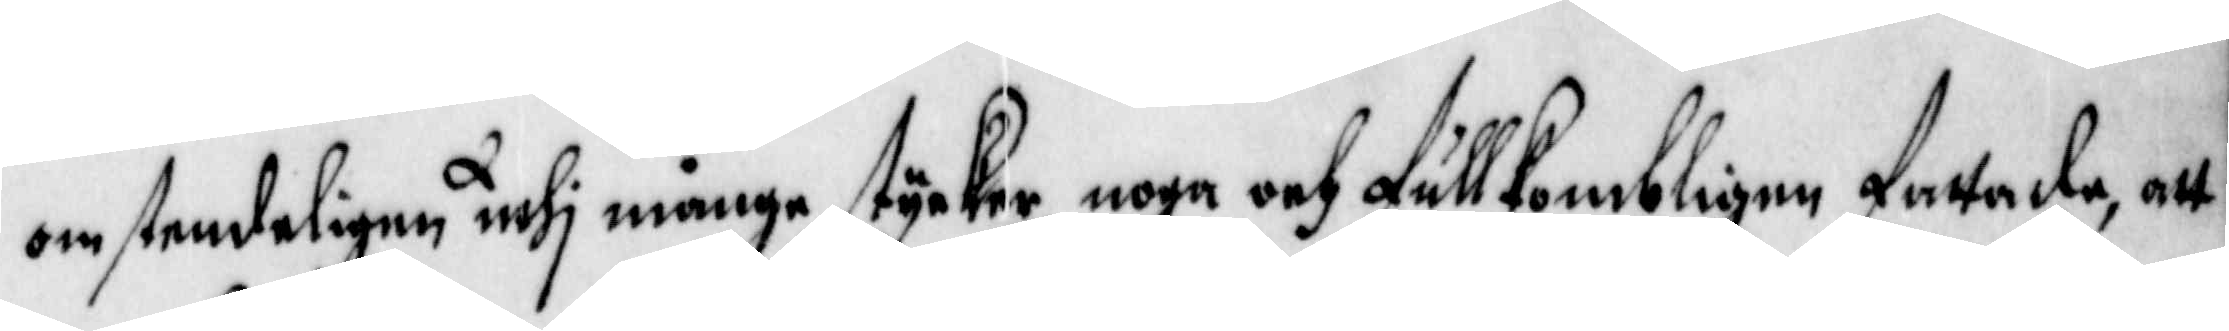omstendeligen uthi många stycke, noga och fullkombligen fattade, att
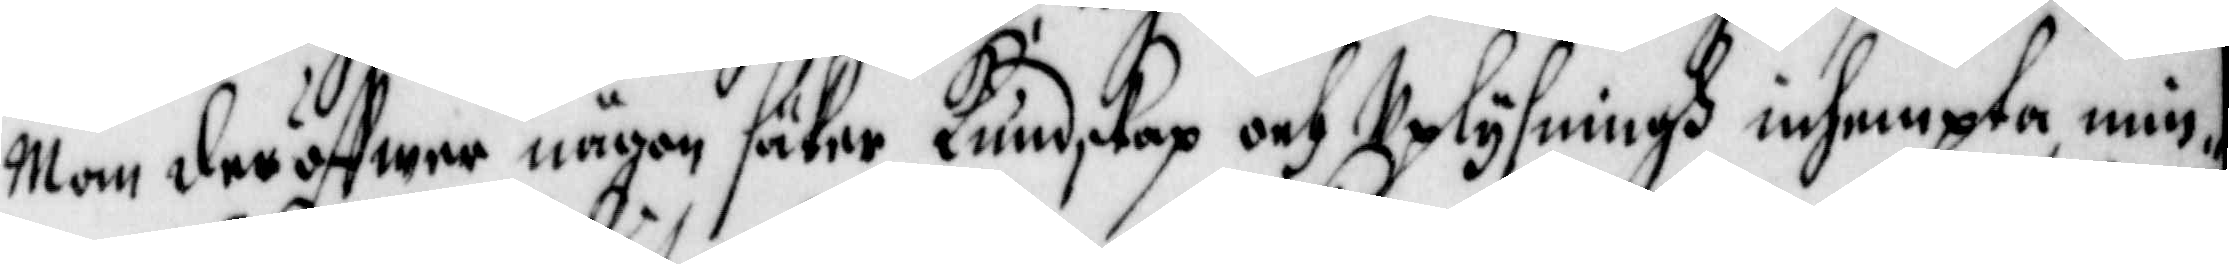Man deröffwer någon säker Kundskap och Uplysningh inhempta, min
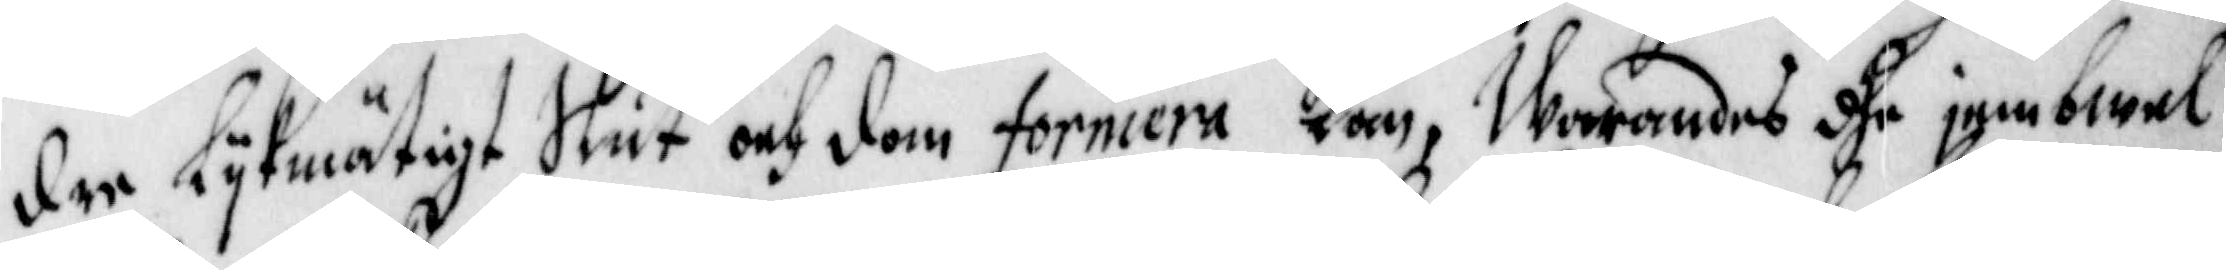dre likmätigt Slut och dom formera Kan, Warandes dhe jembwel
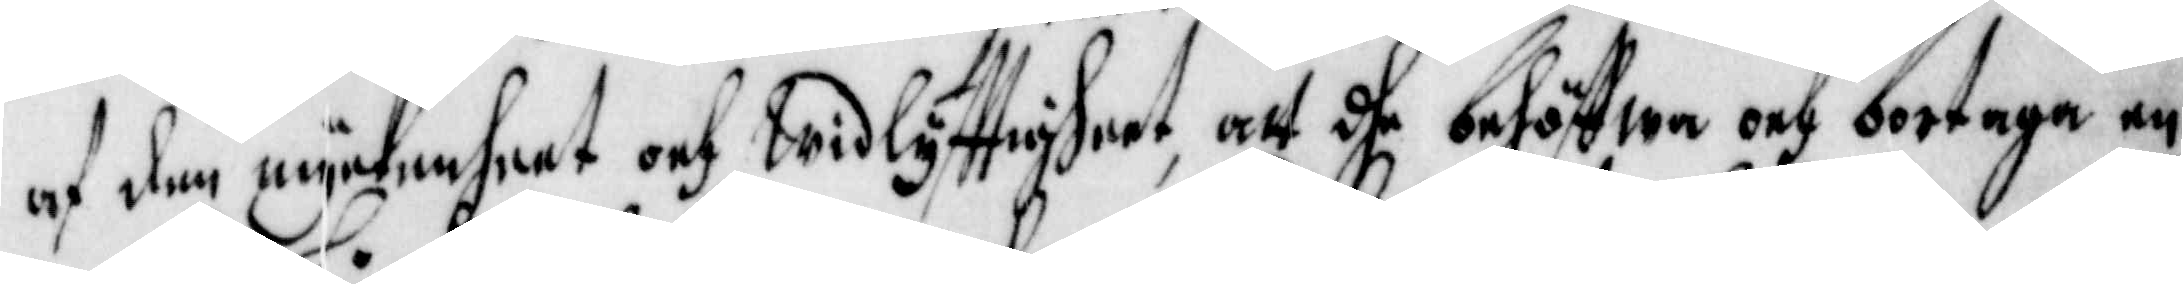af den myckenheet och Widflyfftigheet, att dhe behöffwa och betaga en
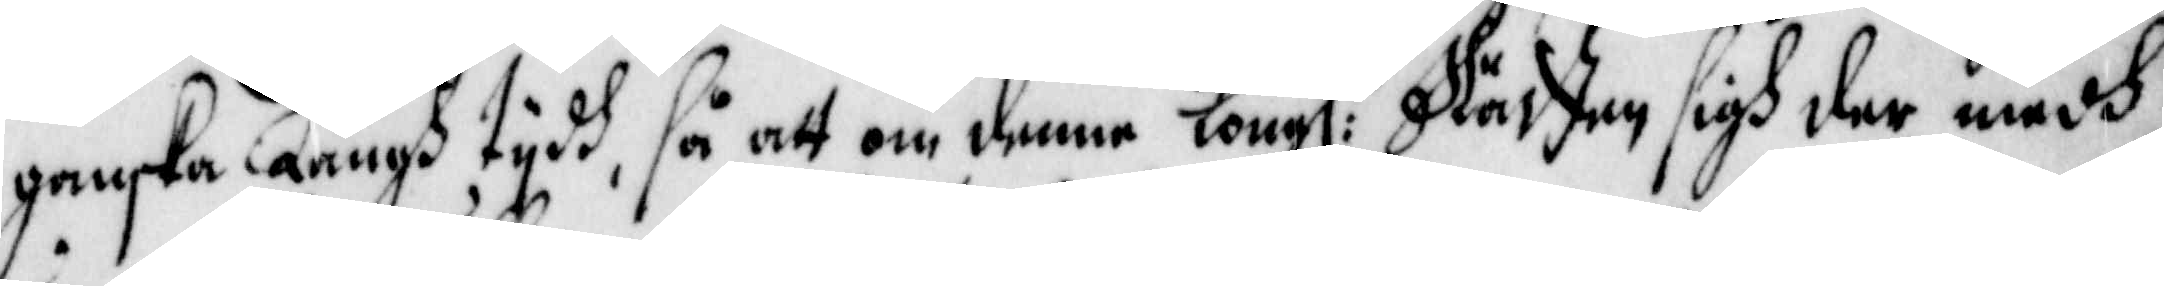ganska Långh tijdh, så att om denna Kongl:a Rätten sigh der medh
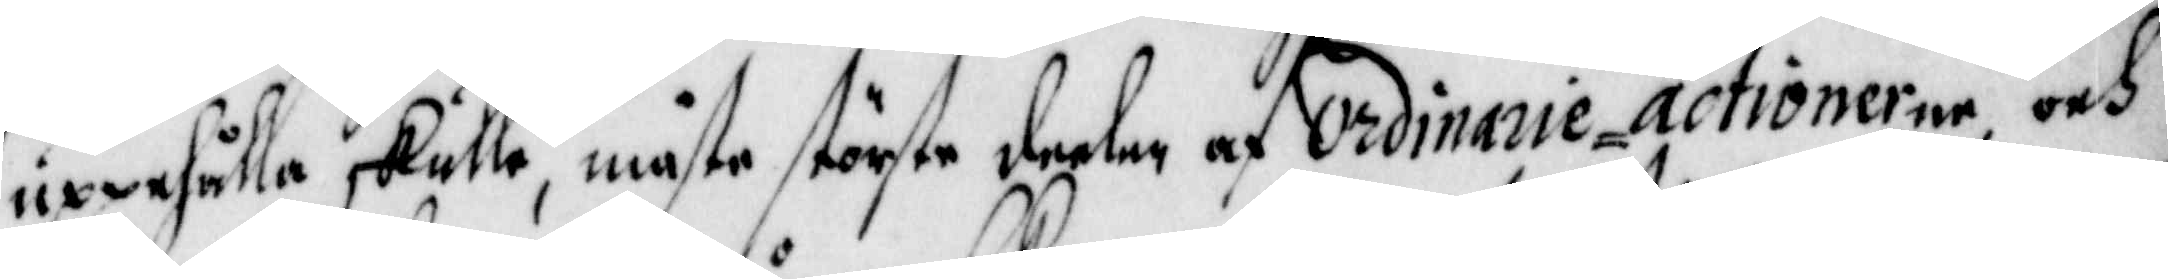uppehålla skulle, måste störste deelen af Ordinarie=actionerne och
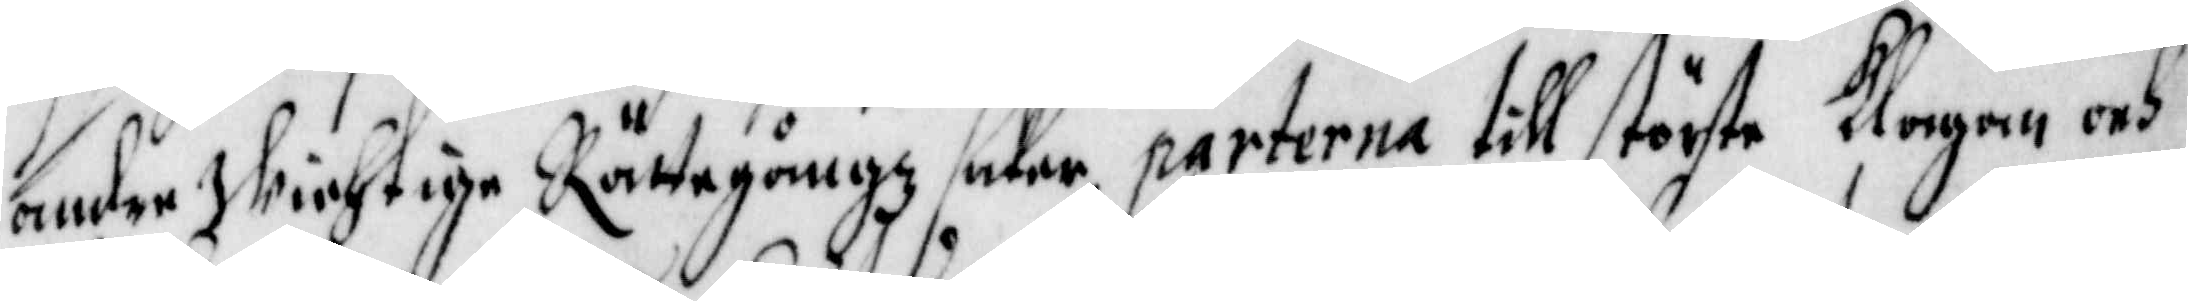andre Wichtige Rättegångz saker parterna till störste Klagan och
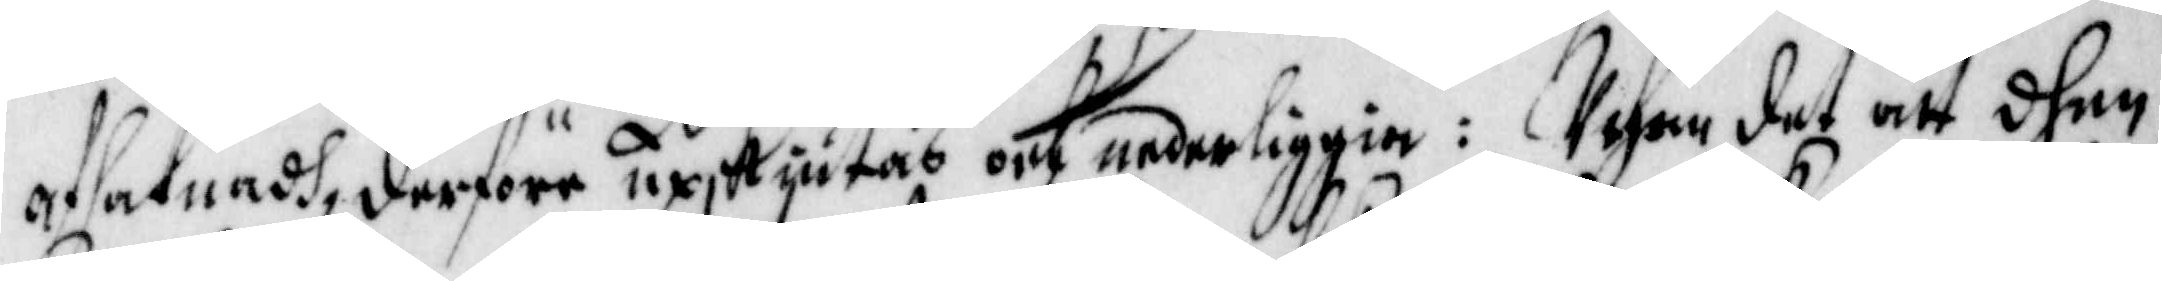afsaknadh, derföre upskiutas och nederliggia: Uthom det att dhen
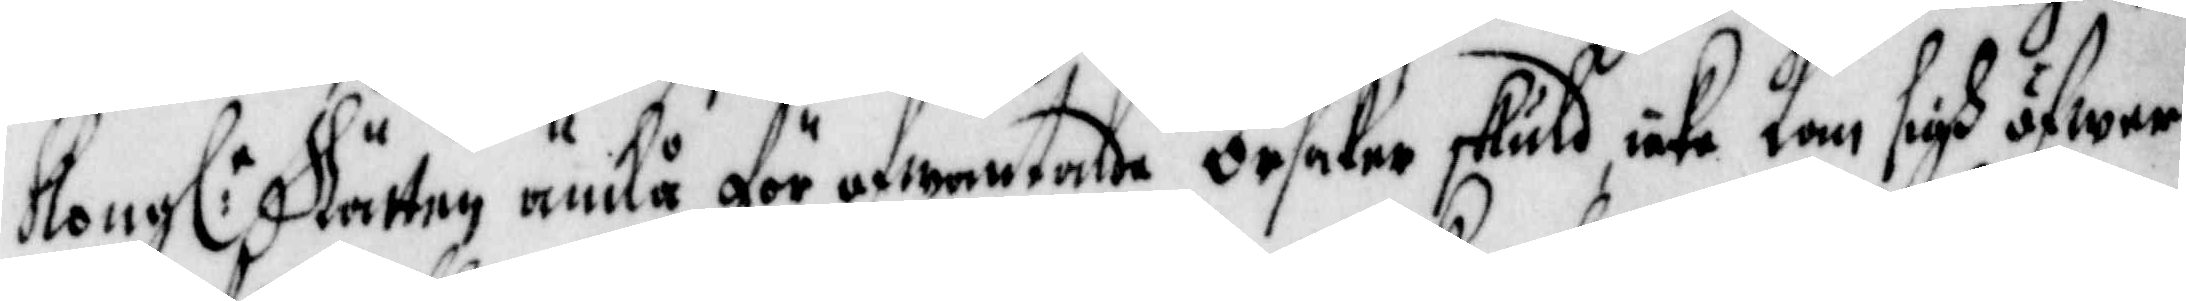Kongl:a Rätten ändå för ofwantalde Orsaker skuld icke Kan sigh öfwer
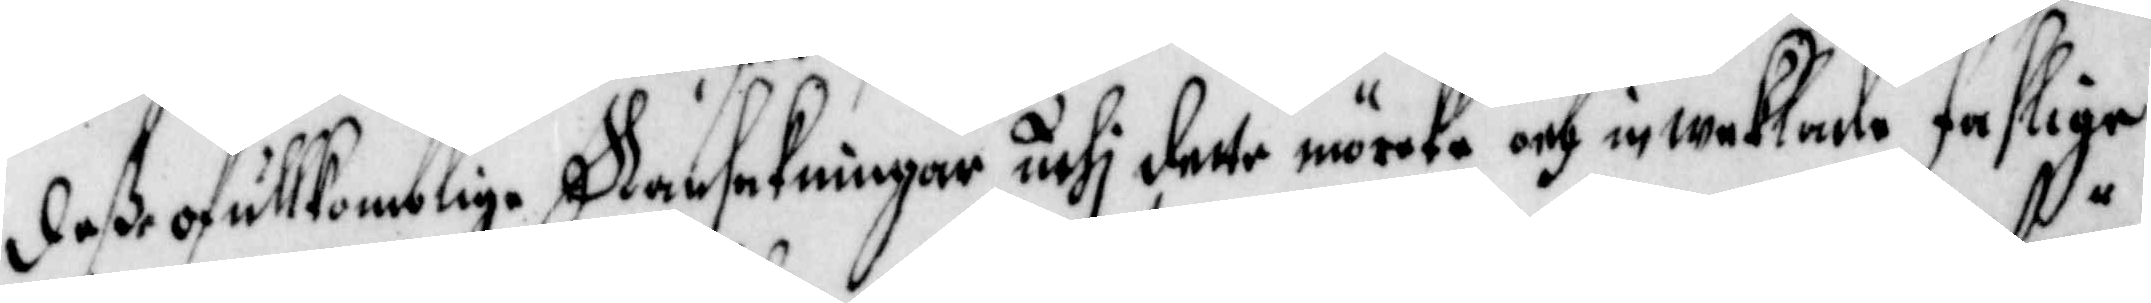desse ofullkomlige Ransakningar uthi dette mörcke och inweklade faslige
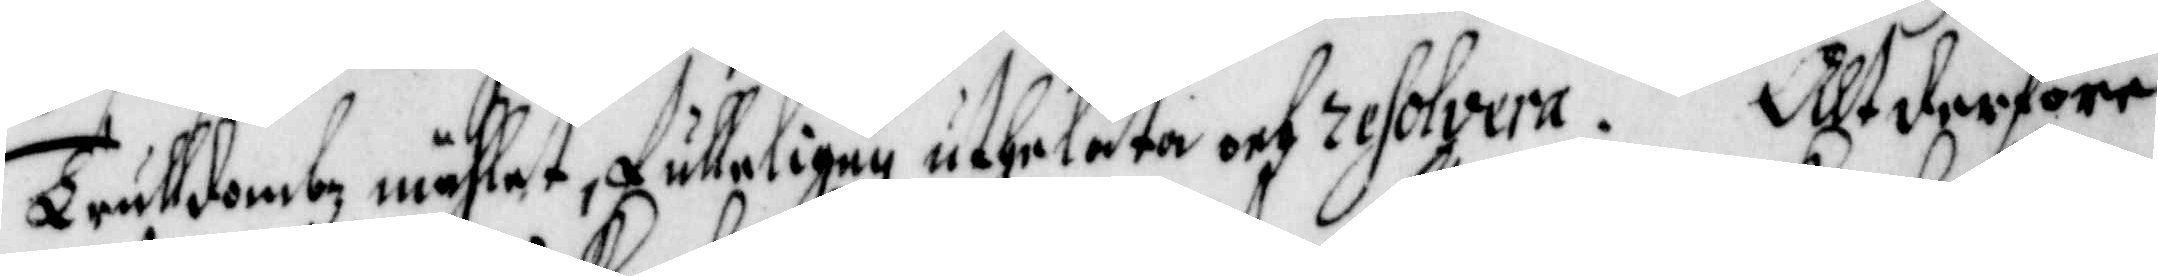Trulldombz måhlet, fulleligen uthelåta och resolvera. Alt derföre
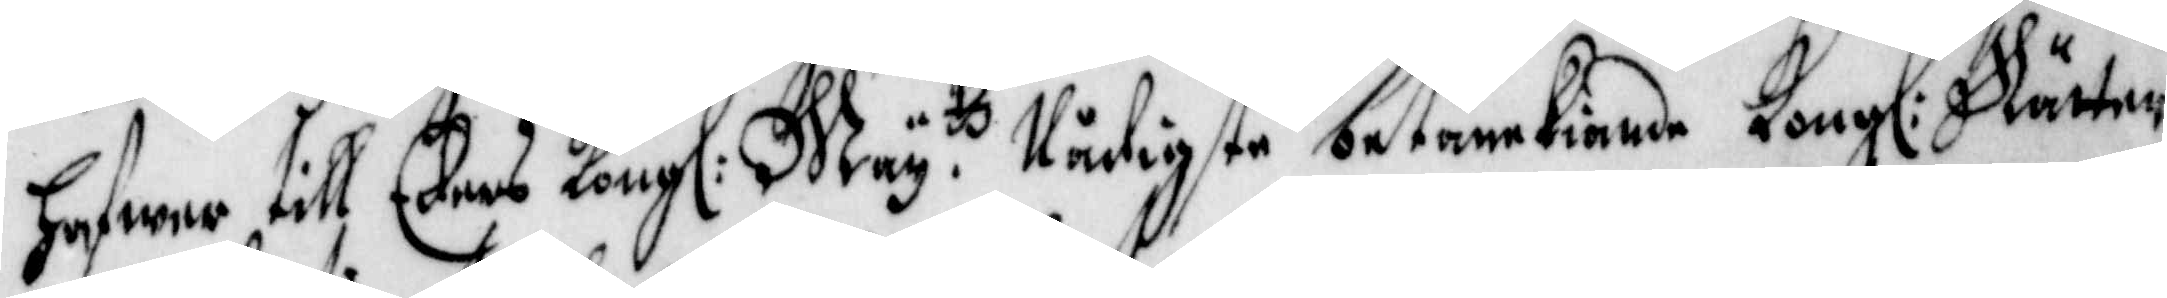hafwer till Eders Kongl: May.ts Nådigste betänckiande Kongl: Rätten
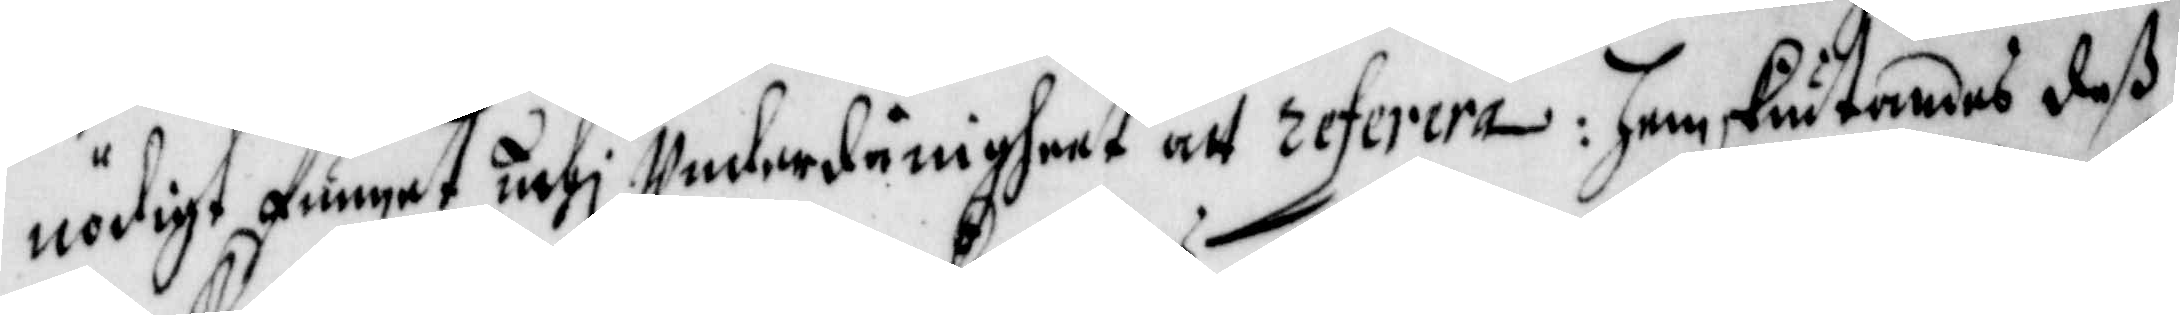nödigt funnet uthi Underdånigheet att referera: Hemskiutandes dess
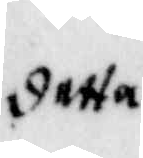detta
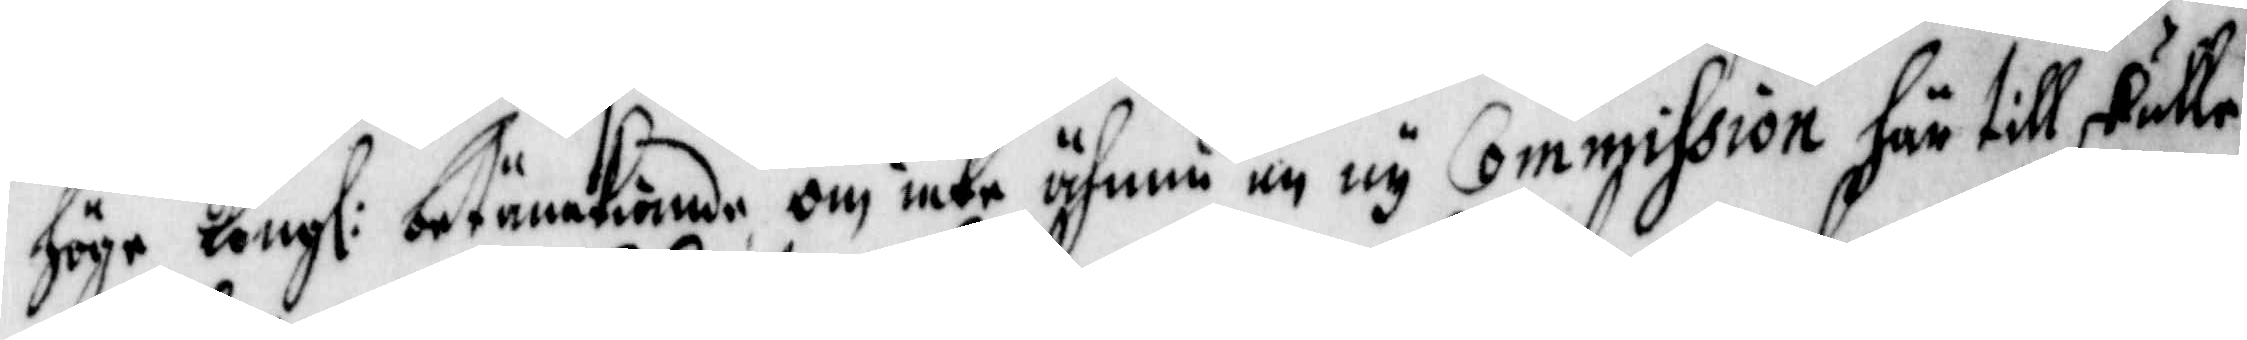höge Kongl: betänckiande om icke äfven en ny Commission här till skulle
